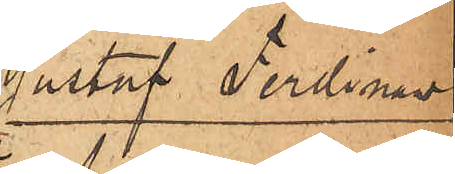Gustaf Ferdinand
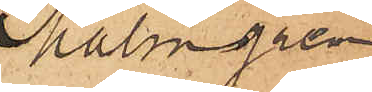Malmgren
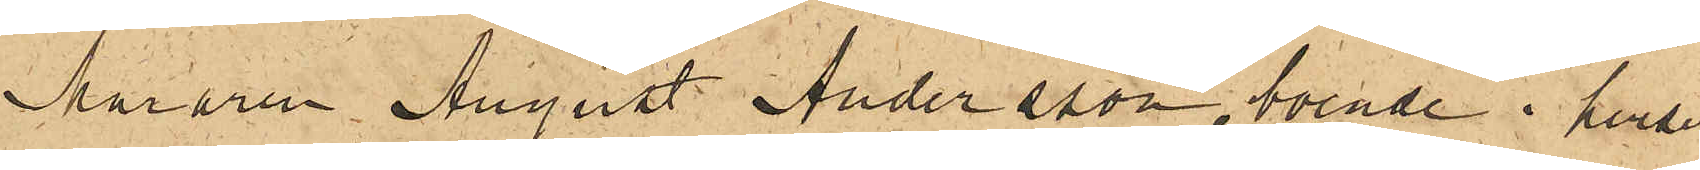Muraren August Andersson, boende i huset
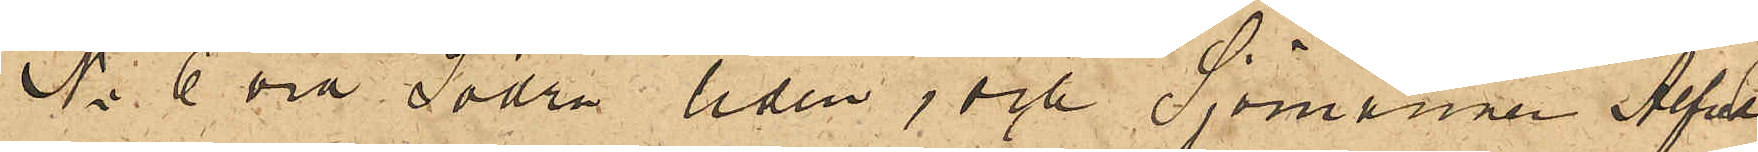No 6 vid Södra liden, och Sjömannen Alfred
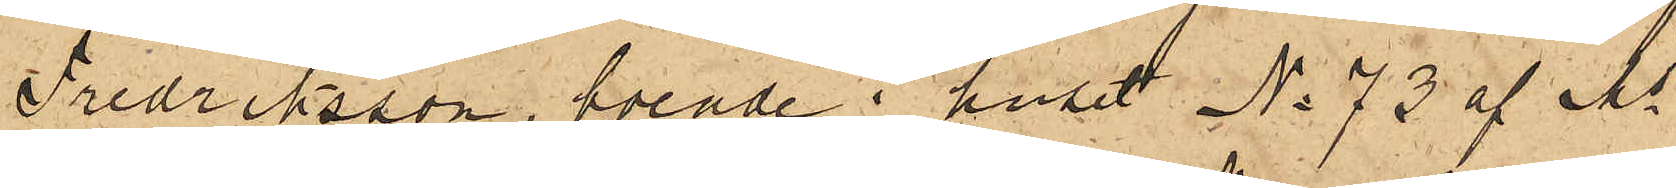Fredriksson, boende i huset No 73 af Ms
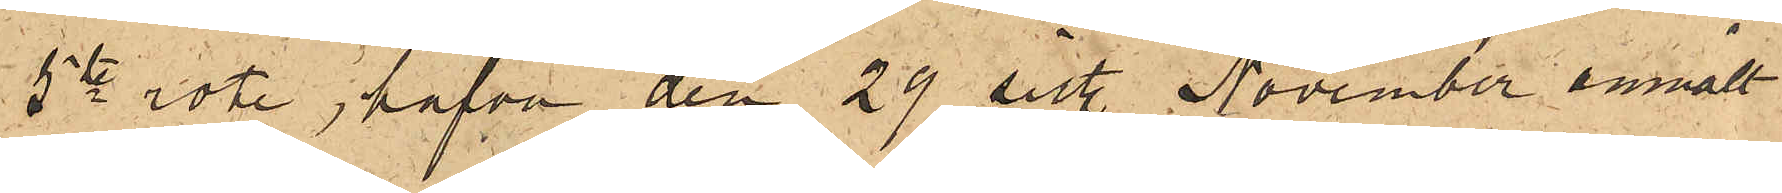5te rote, hafva den 29 sist. November anmält
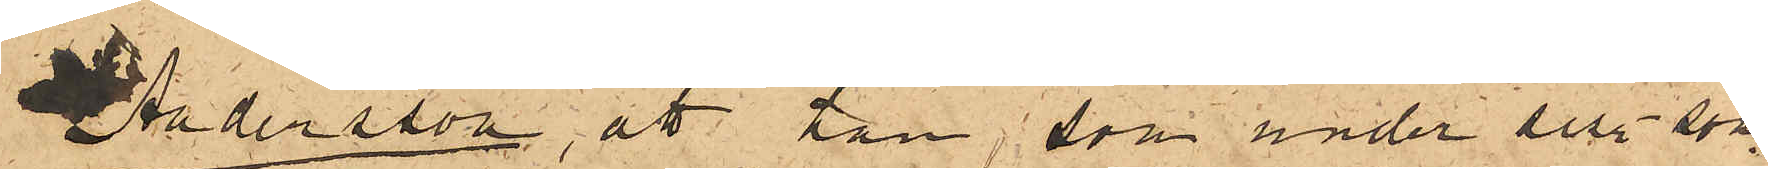Andersson, att han, som under sist. som¬
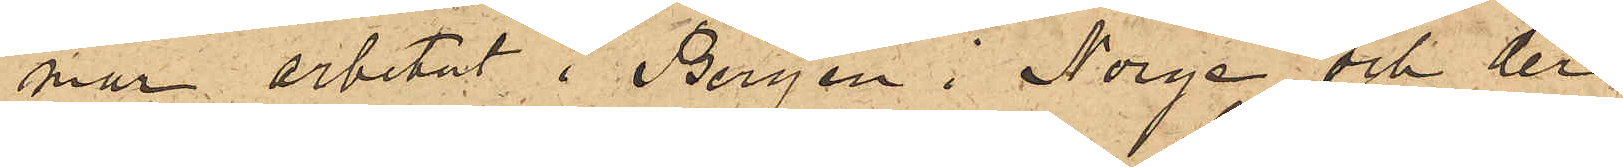mar arbetat i Bergen i Norge och der
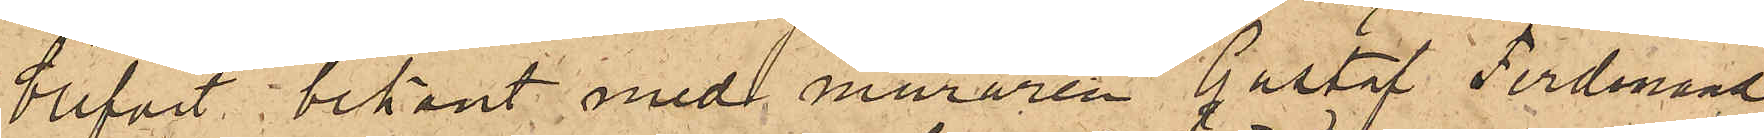blifvit bekant med muraren Gustaf Ferdinand
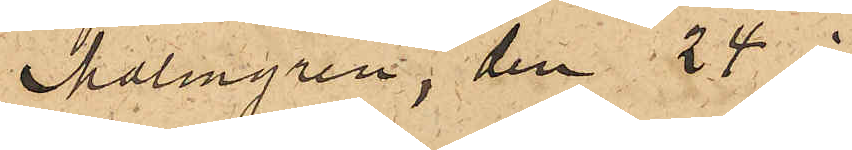Malmgren, den 24 i
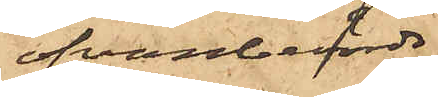ofvanberörde
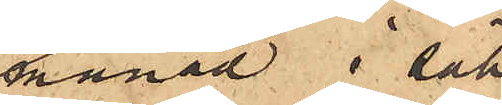månad i säll¬
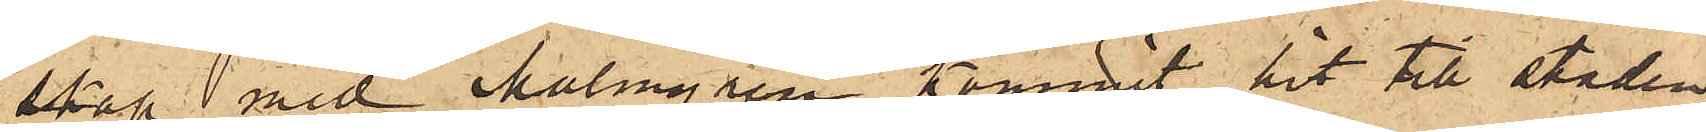skap med Malmgren kommit hit till staden
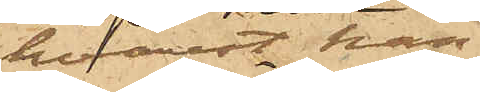hvarest han
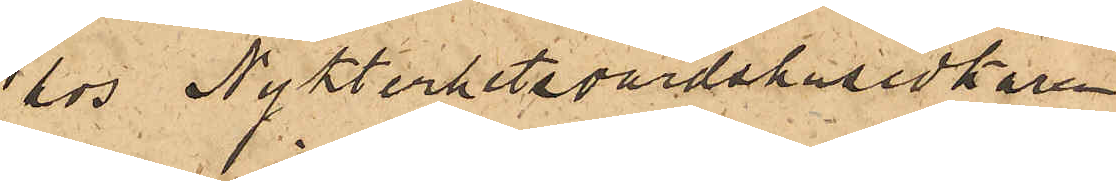hos Nykterhetsvärdshusidkaren
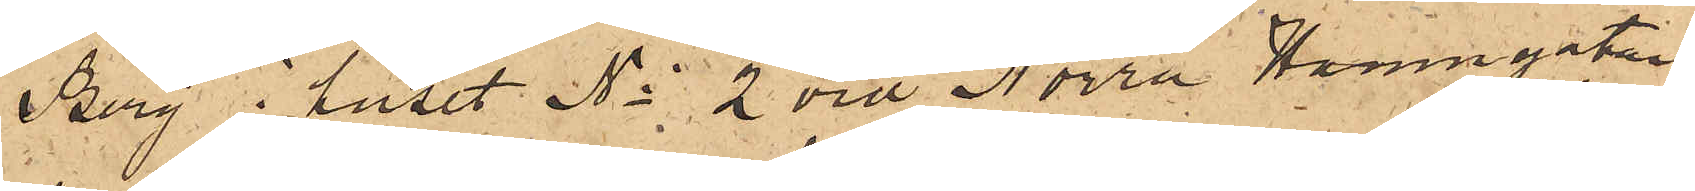Berg i huset No 2 vid Norra Hamngatan,
